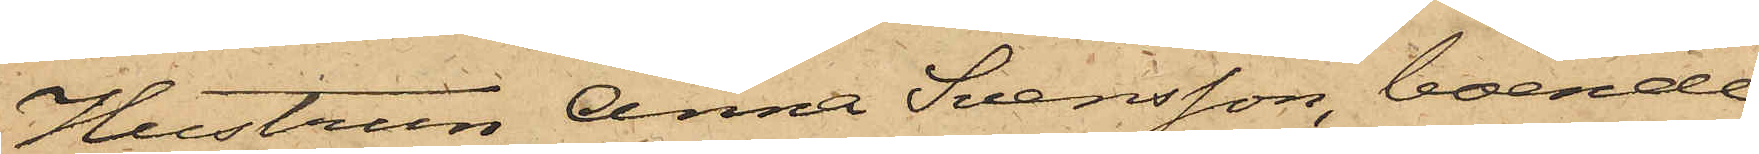Hustrun Anna Svensson, boende
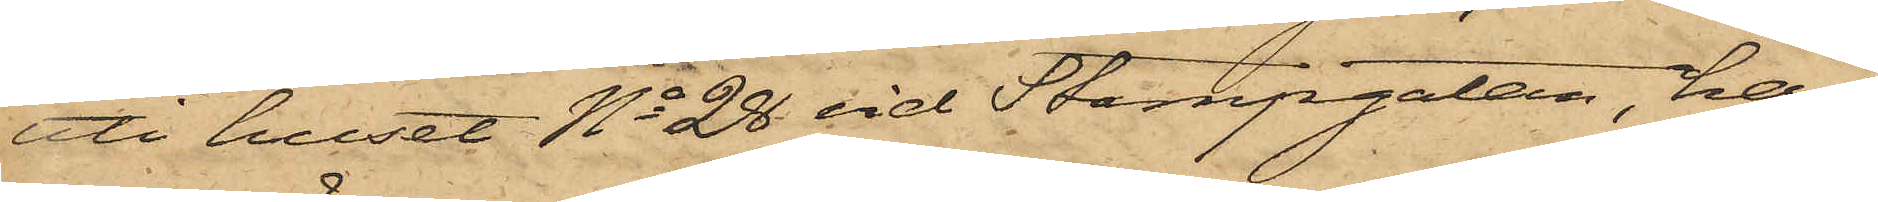att huset No 28 vid Stampgatan, har
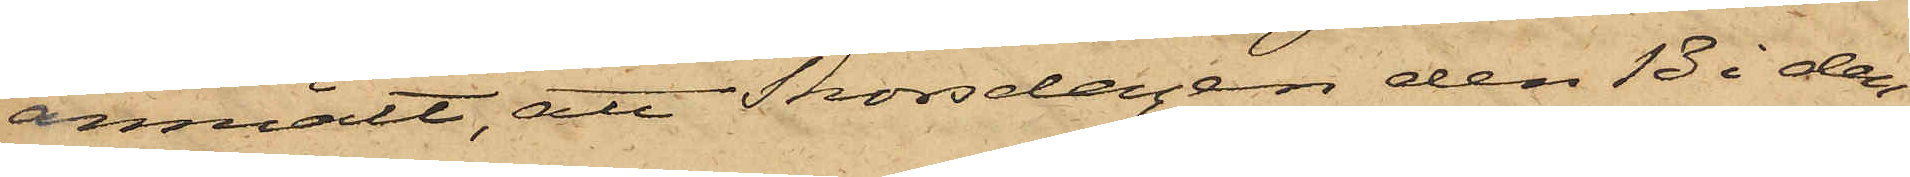anmält, att Thorsdagen den 13 i den¬
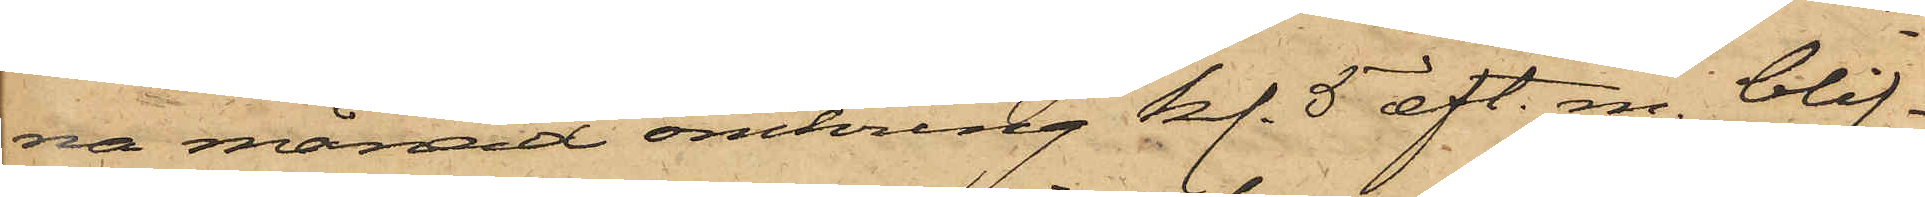na månad omkring kl. 5 eft. m. blif¬
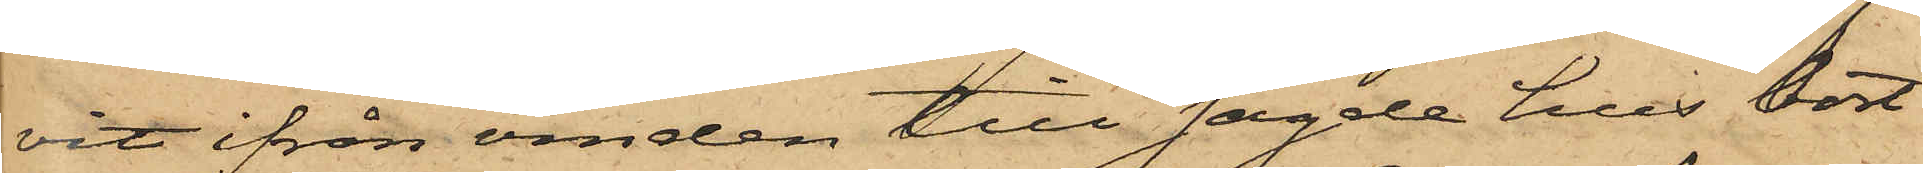vit ifrån vinden till sagde hus bort¬
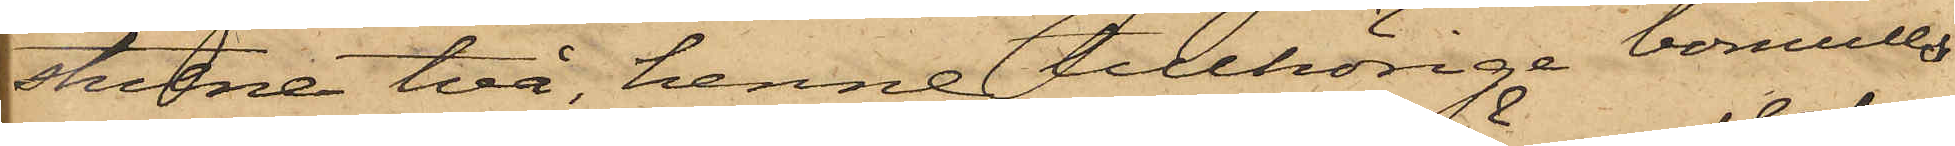stulne två, henne tillhörige bomulls¬
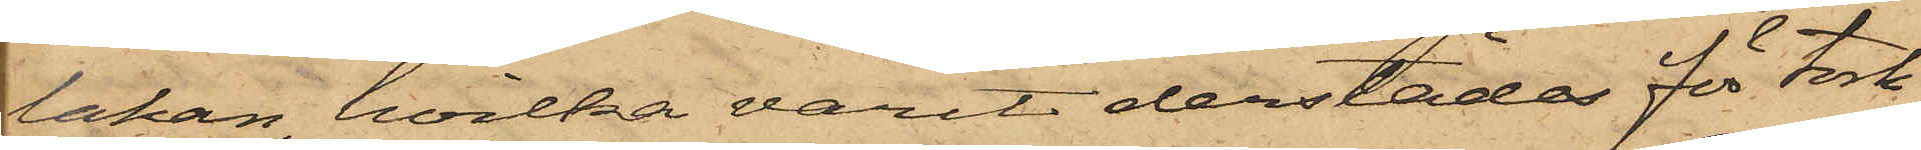lakan, hvilka varit derstädes för tork¬
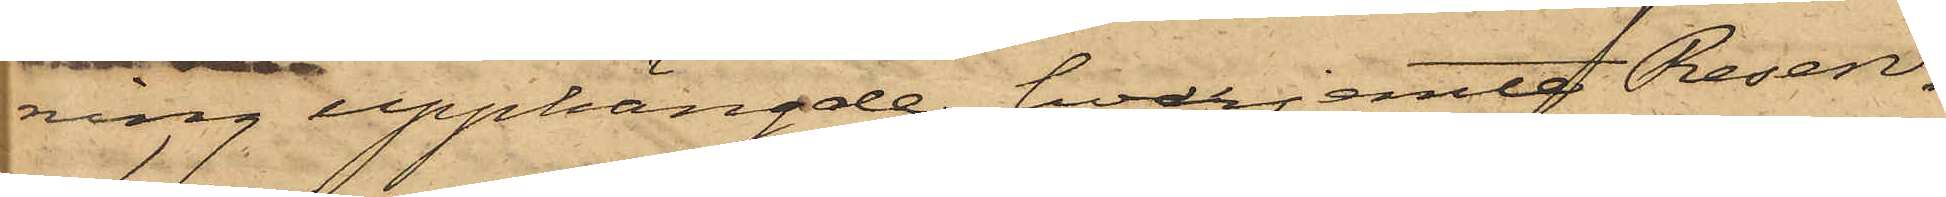 ning upphängde, hvarjemte Reserv¬
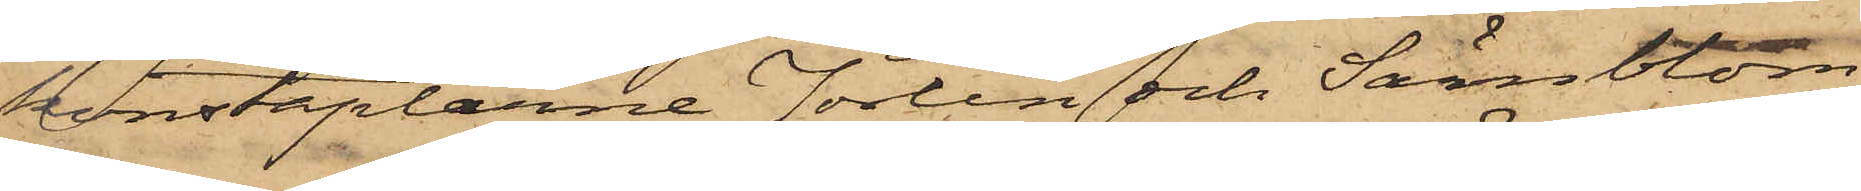konstaplarne Jörlin och Särnblom
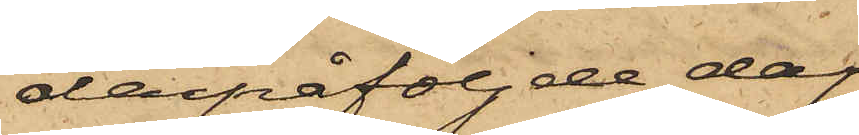derpåföljde dag
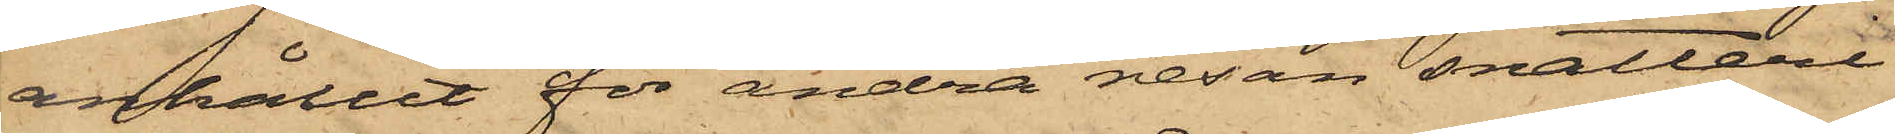anhållit för andra resan snatteri
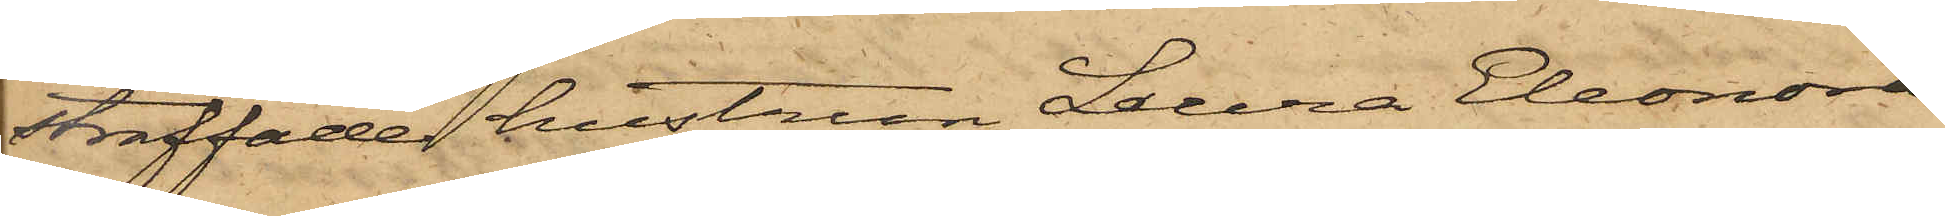straffade hustrun Laura Eleonora
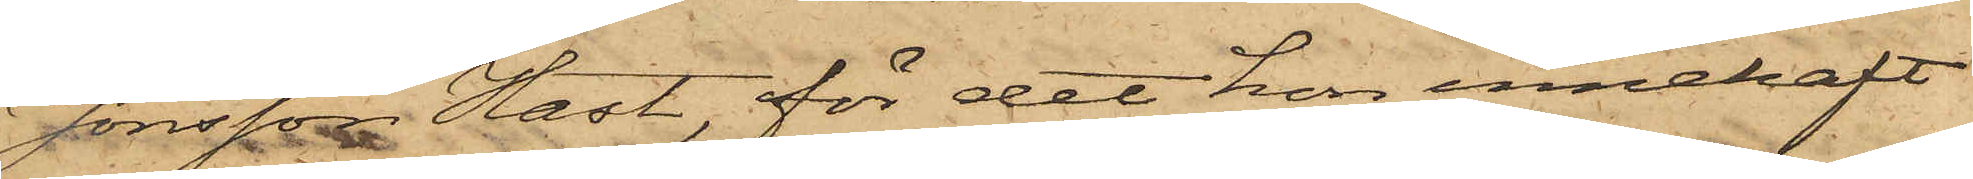Jonsson Hast, för det hon innehaft
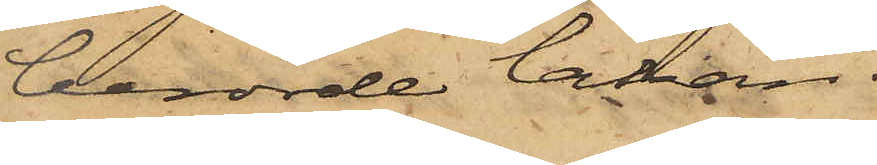berörde lakan.
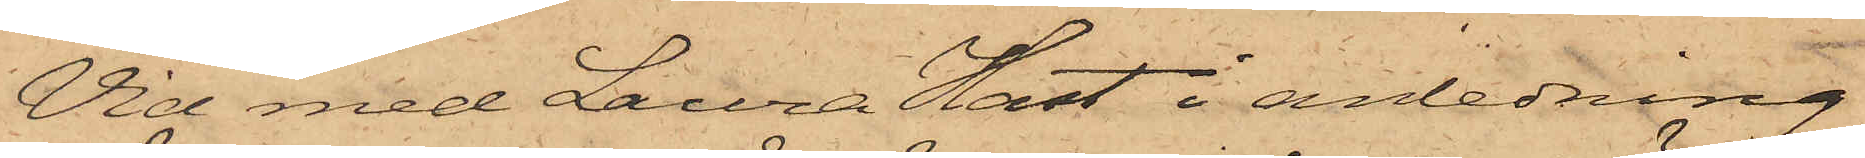Vid med Laura Hast i anledning
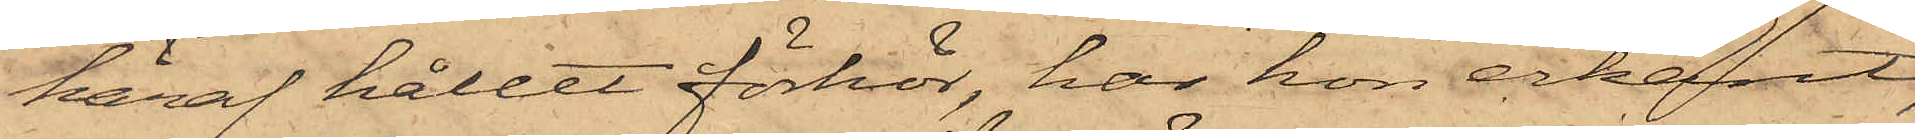häraf hållet förhör, har hon erkänt,
